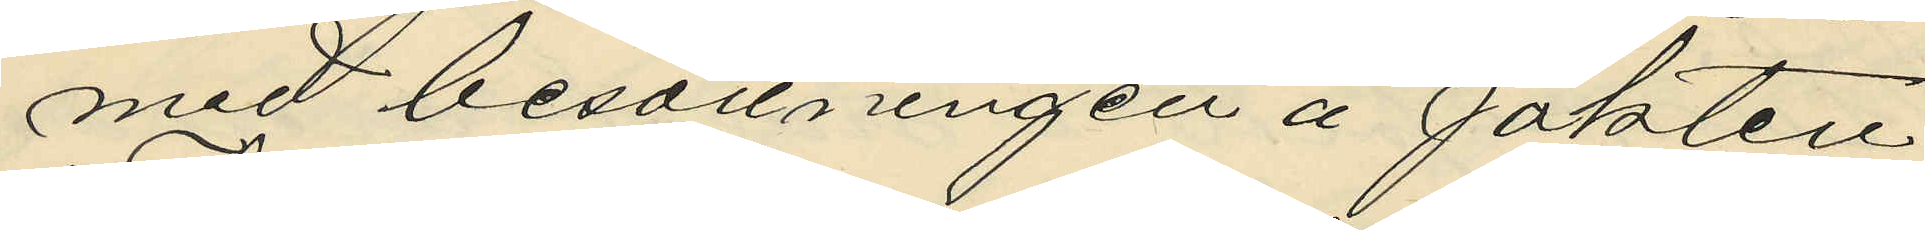med besättningen å jakten
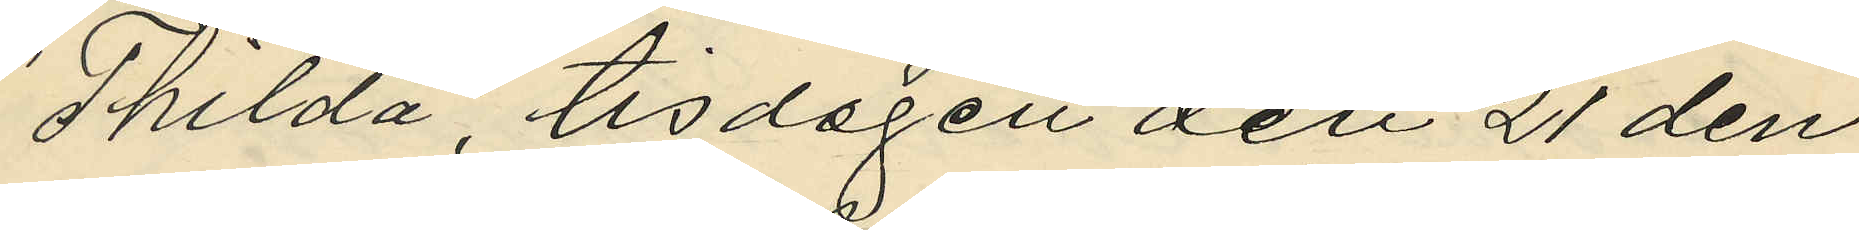"Thilda", tisdagen den 21 den
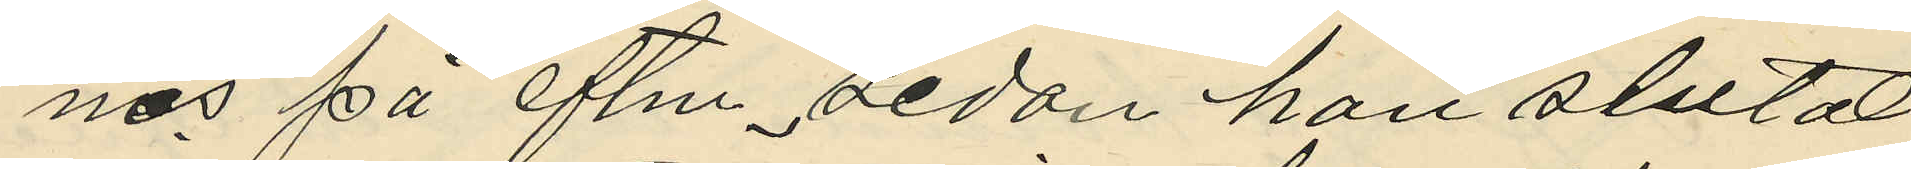nes på eftm, sedan han slutat
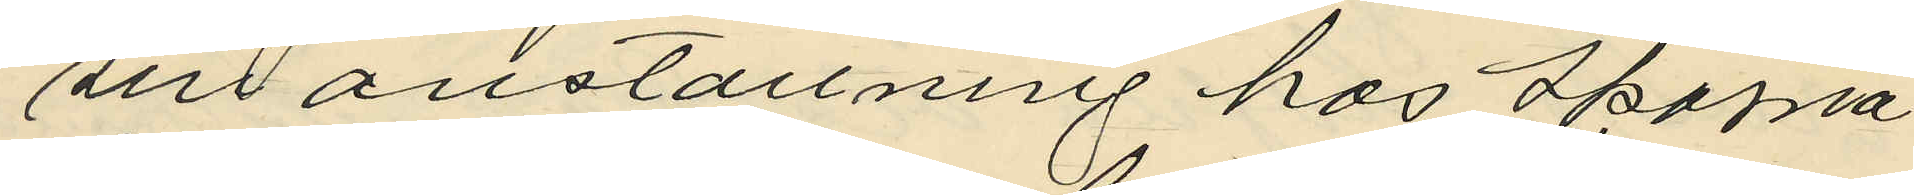sin anställning hos Skoma
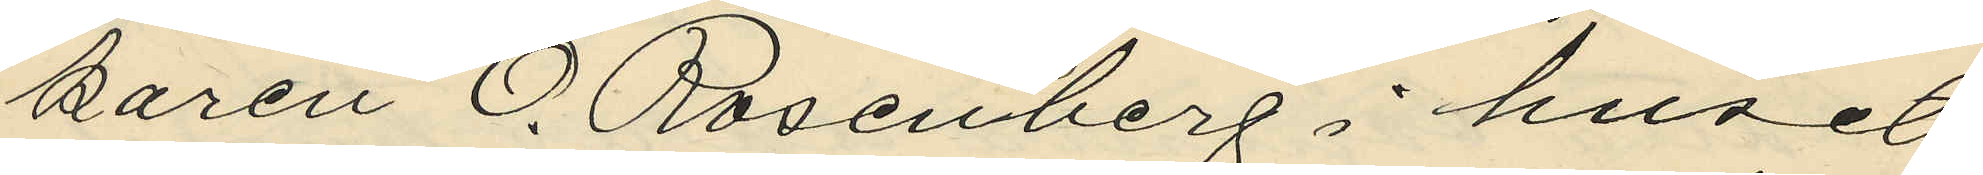karen O. Rosenberg i huset
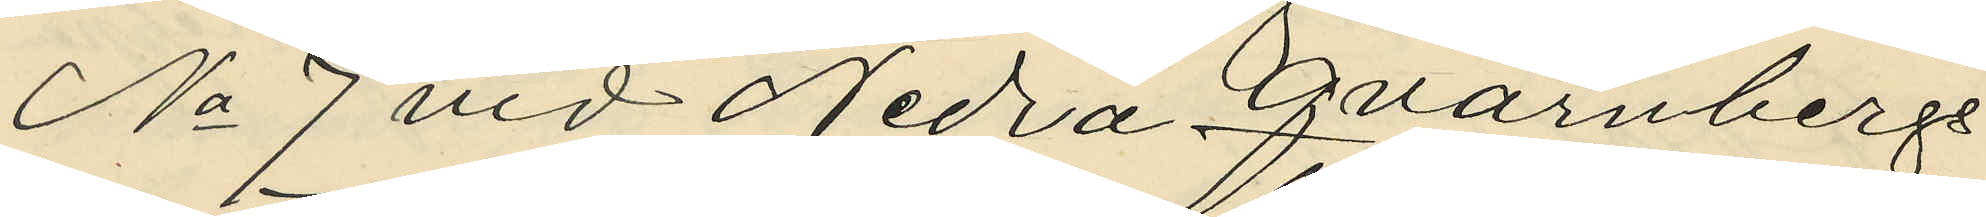No 7 vid Nedra Qvarnbergs
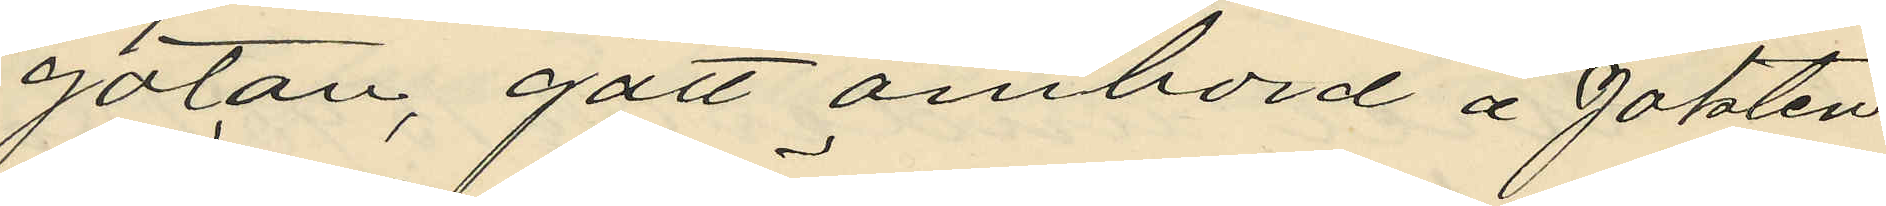gatan, gått ombord å jakten
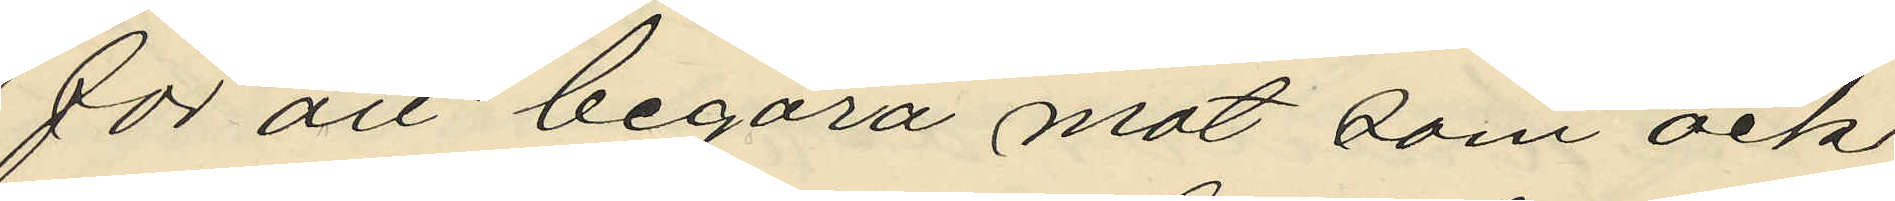för att begära mat som ock
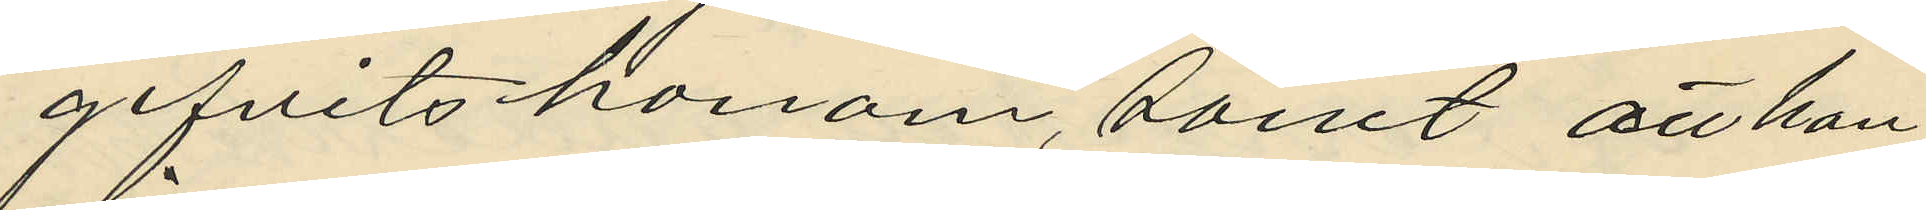gifvits honom, samt att han
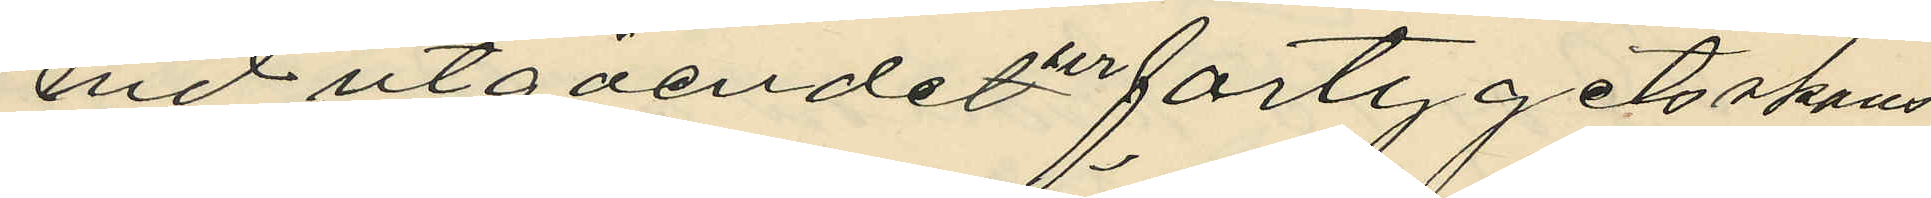vid utgåendet ur fartygets skans
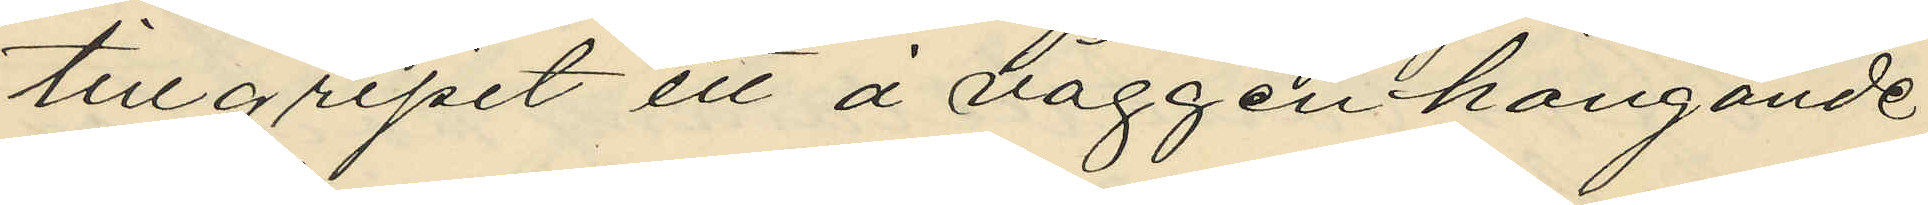tillgripit ett å väggen hängande
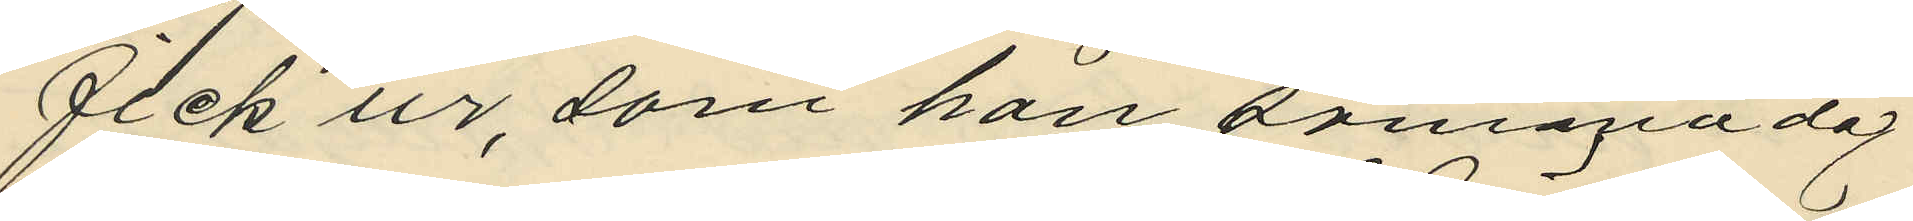fick ur, som han samma dag
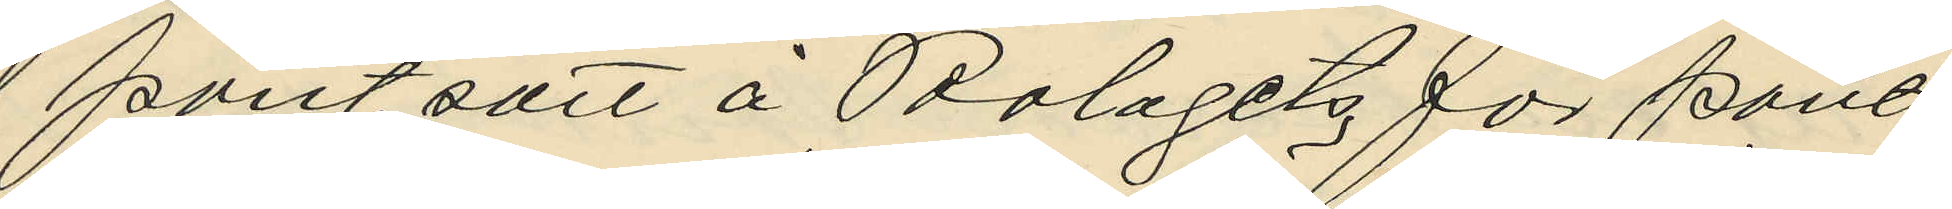pantsatt å Bolagets för pant
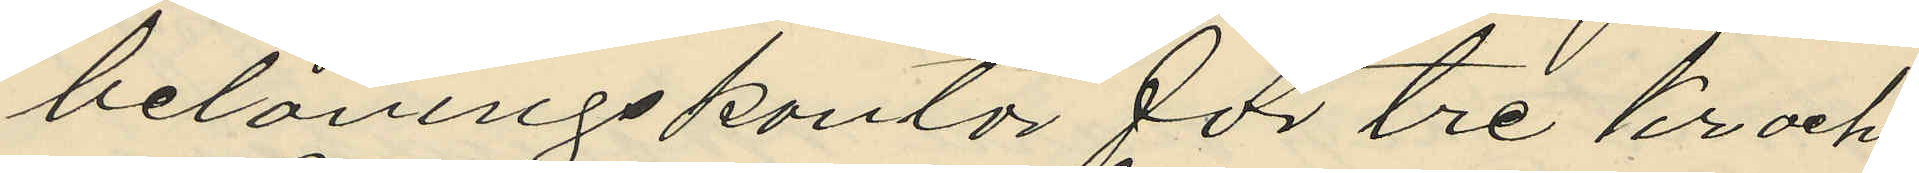belåningskontor för tre kr och
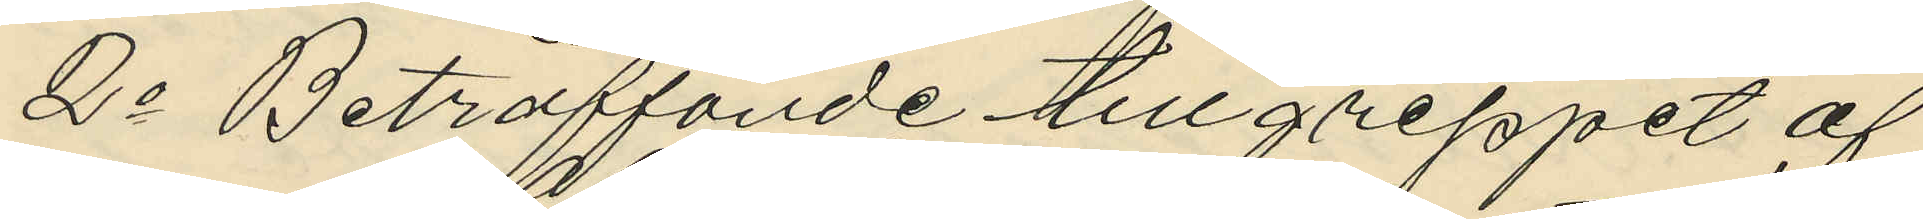2o Beträffande tillgreppet af
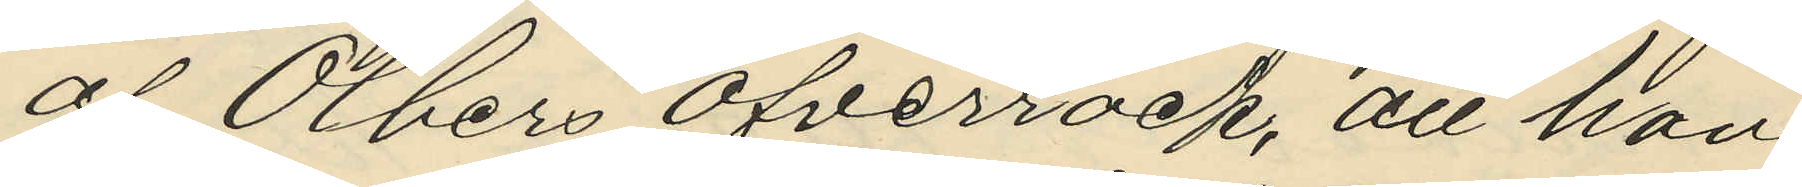af Olbers Öfverrock, att han
